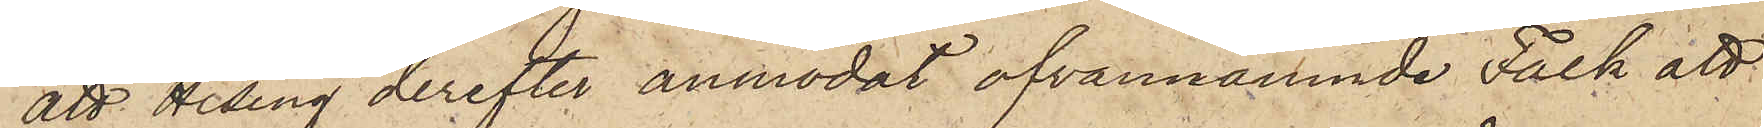att Hising derefter anmodat ofvannämnde Falk att
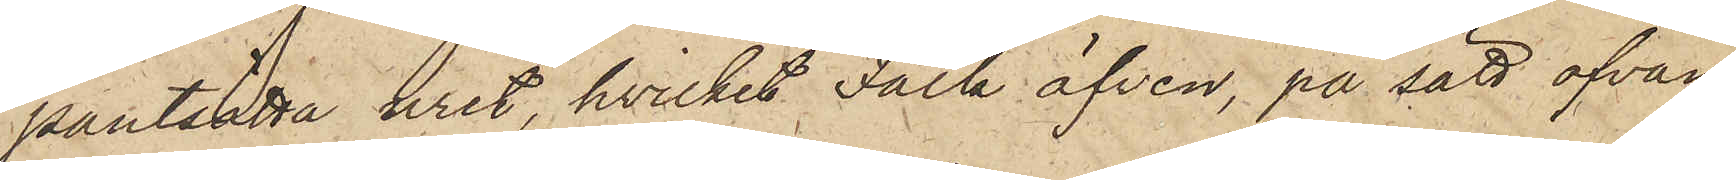pantsätta uret, hvilket Falk äfven, på sätt ofvan
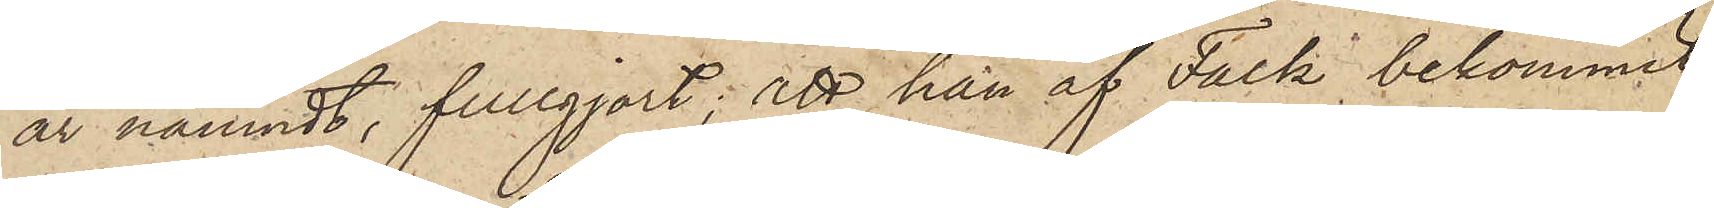är nämndt, fullgjort; att han af Falk bekommit
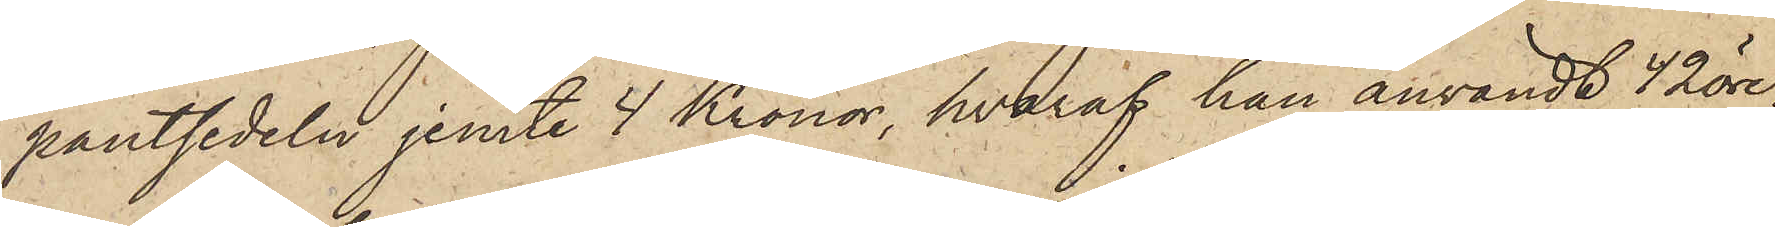pantsedeln jemte 4 Kronor, hvaraf han användt 42 öre,
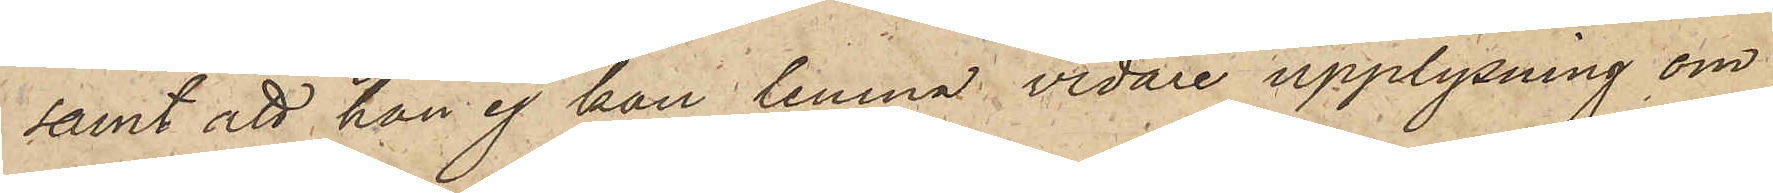samt att han ej kan lemna vidare upplysning om
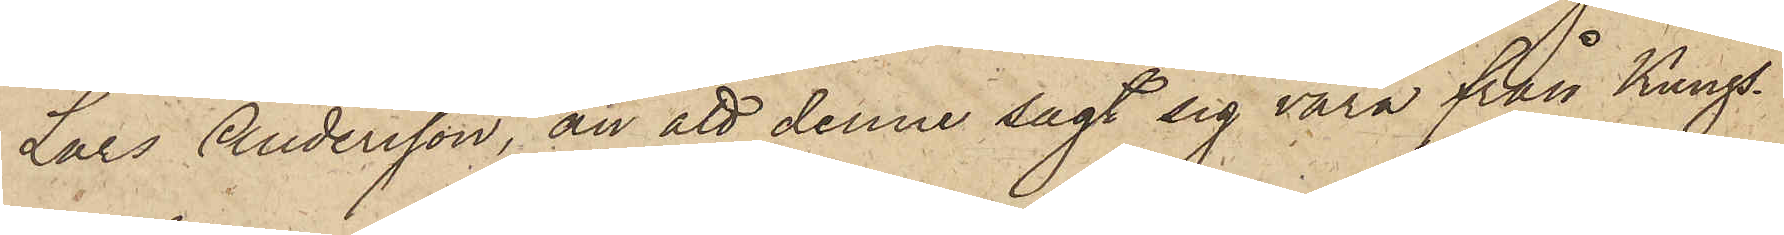Lars Andersson, än att denne sagt sig vara från Kungs¬
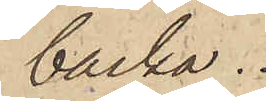backa.
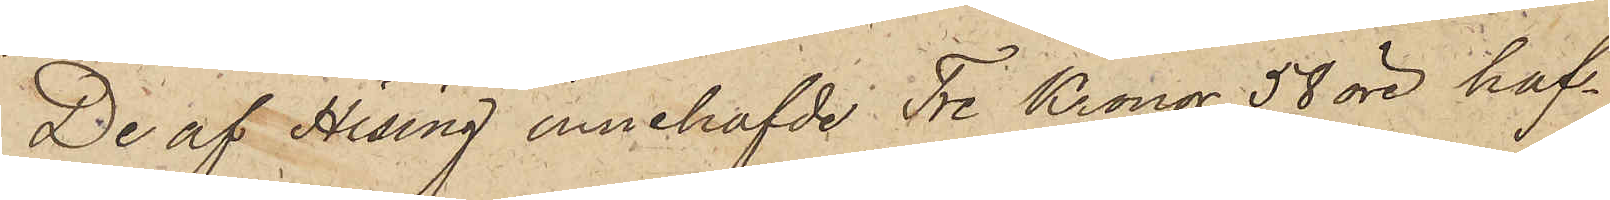De af Hising innehafvde Tre Kronor 50 öre haf¬
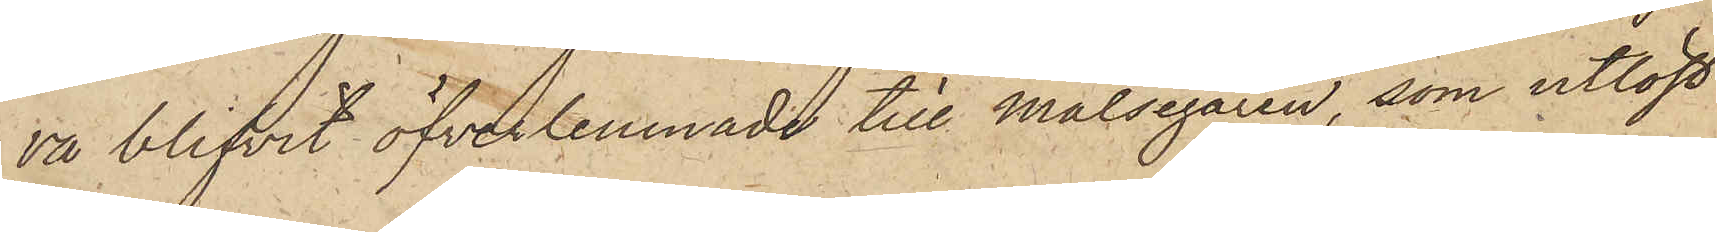va blifvit öfverlemnade till målsegaren, som utlöst
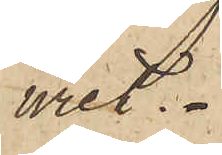uret.
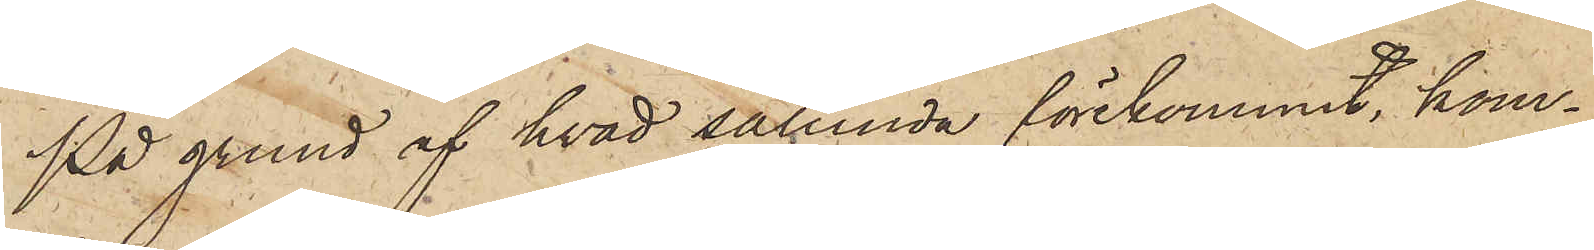På grund af hvad sålunda förekommit, kom¬
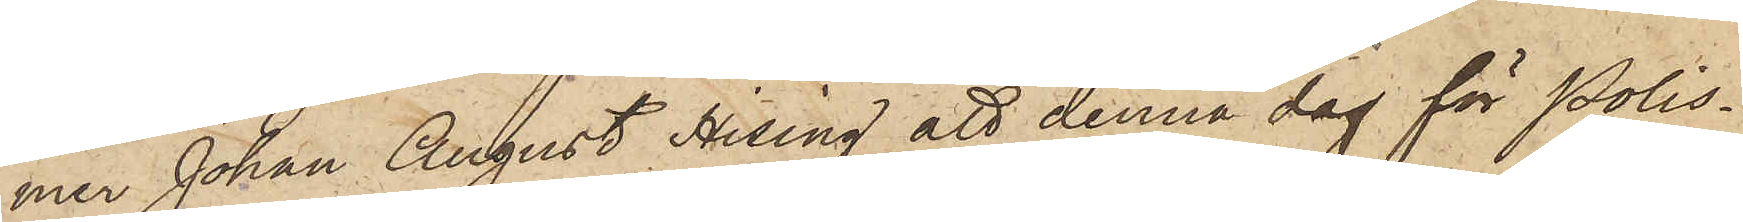mer Johan August Hising att denna dag för Polis¬
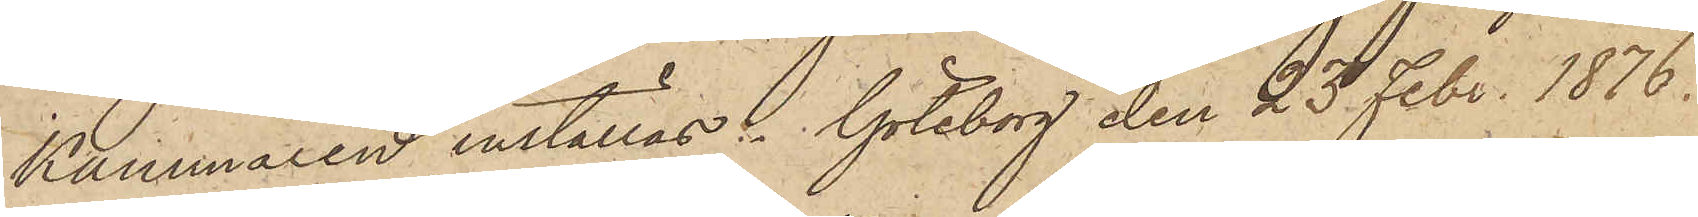Kammaren inställas. Göteborg den 23 Febr. 1876.
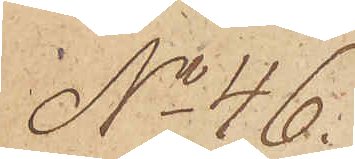No 46.
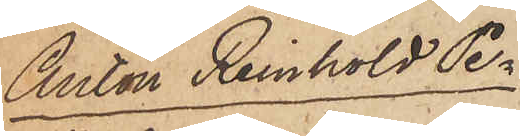Anton Reinhold Pe¬
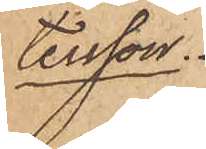tersson.
